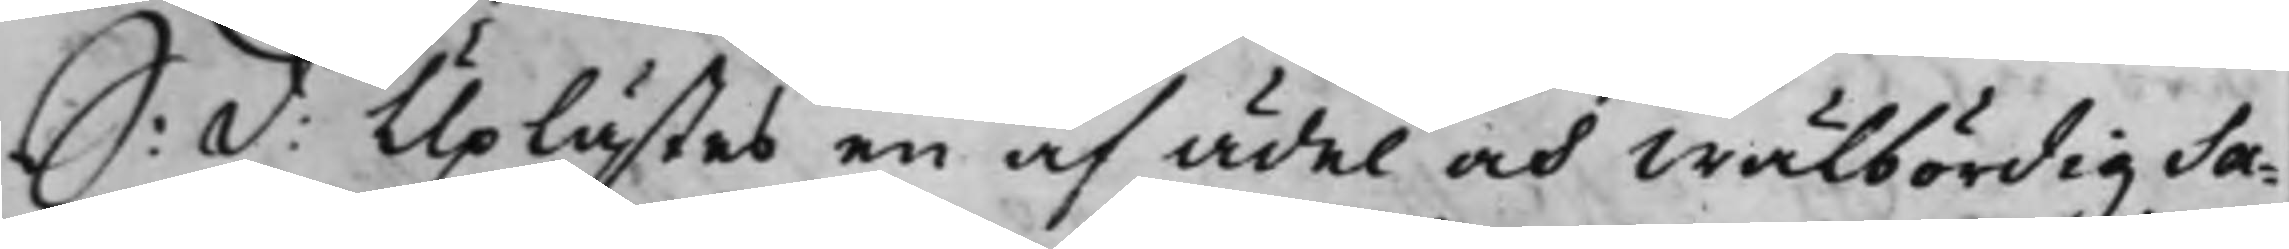S: d: Uplästes en af Ädel och Wälbördig Sa¬
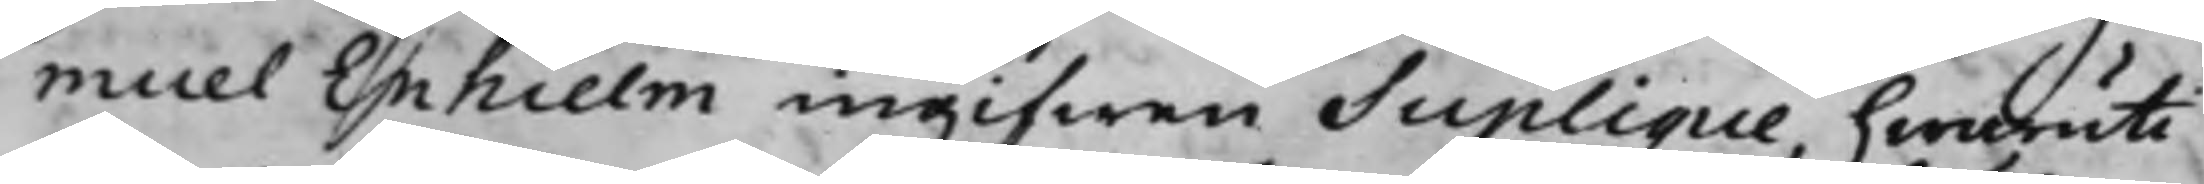muel Enhielm ingifwen Suplique, hwaruti
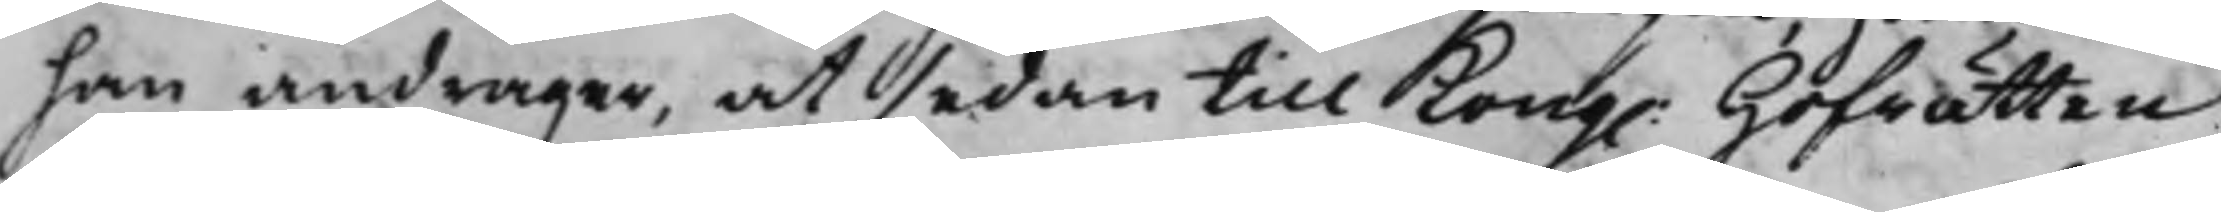han andrager, at sedan till Kong. Hoffrätten
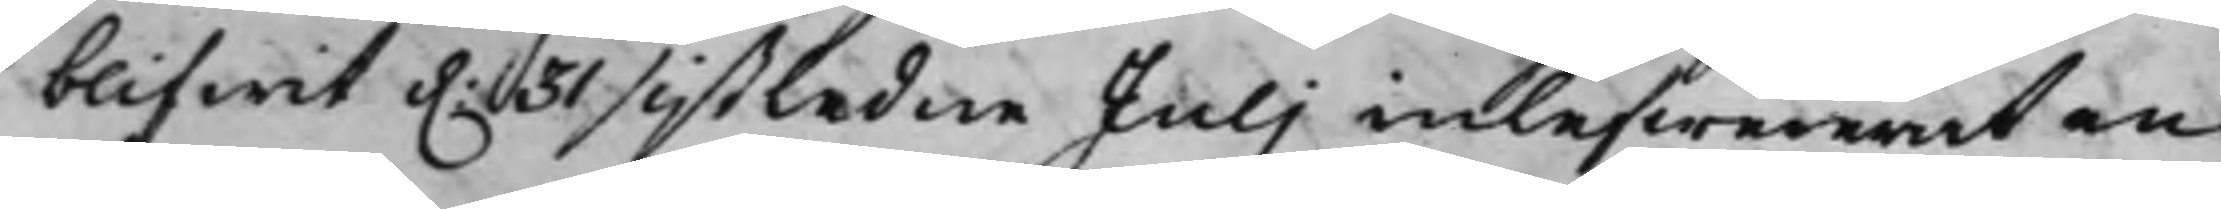blifwit d. 31 sistledne Juli inlefwererat en
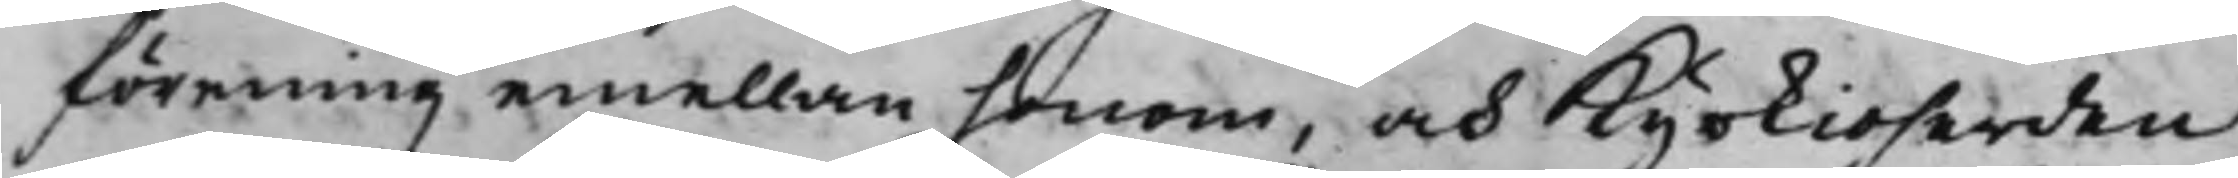förening emellan honom, och Kyrkioherden
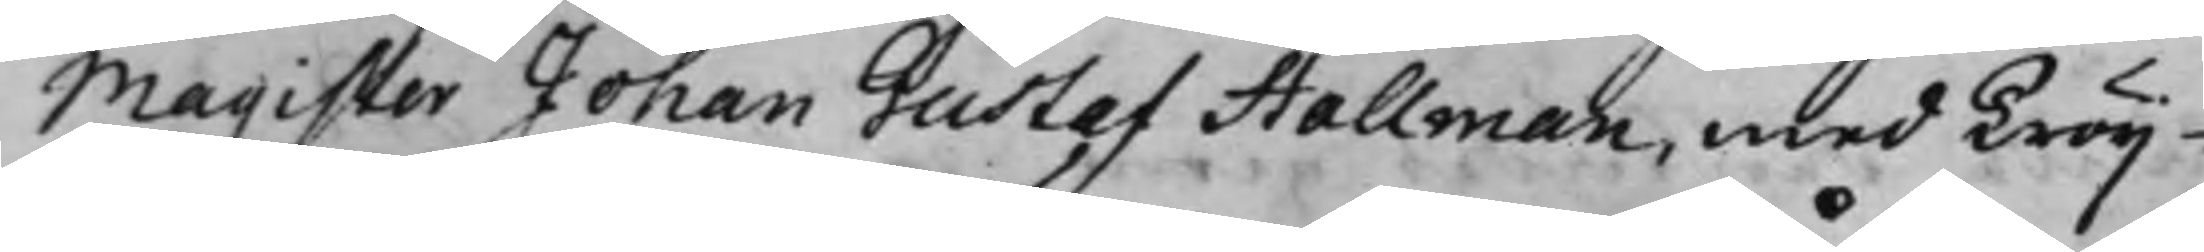Magister Johan Gustaf Hallman, med Tröij¬
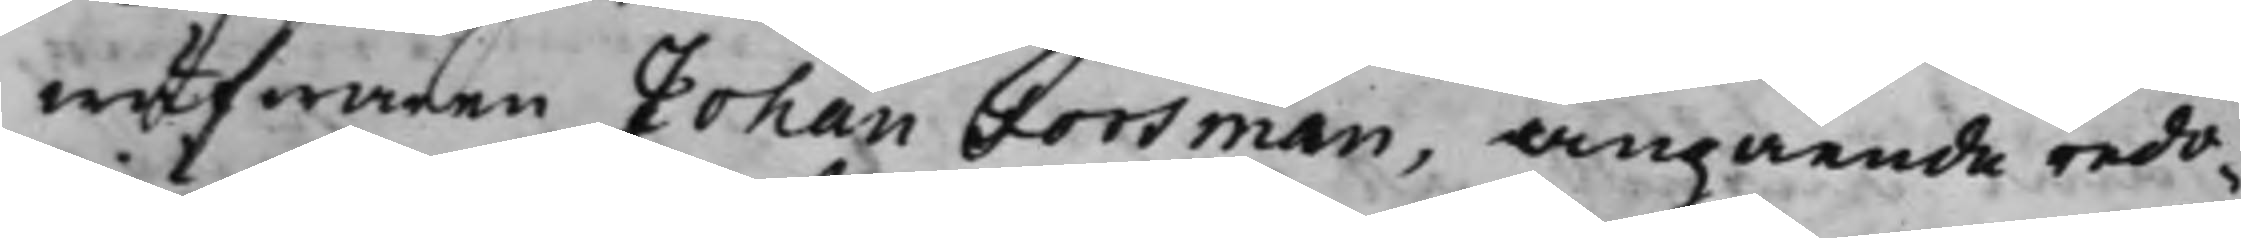wäfwaren Johan Forsman, angående redo¬
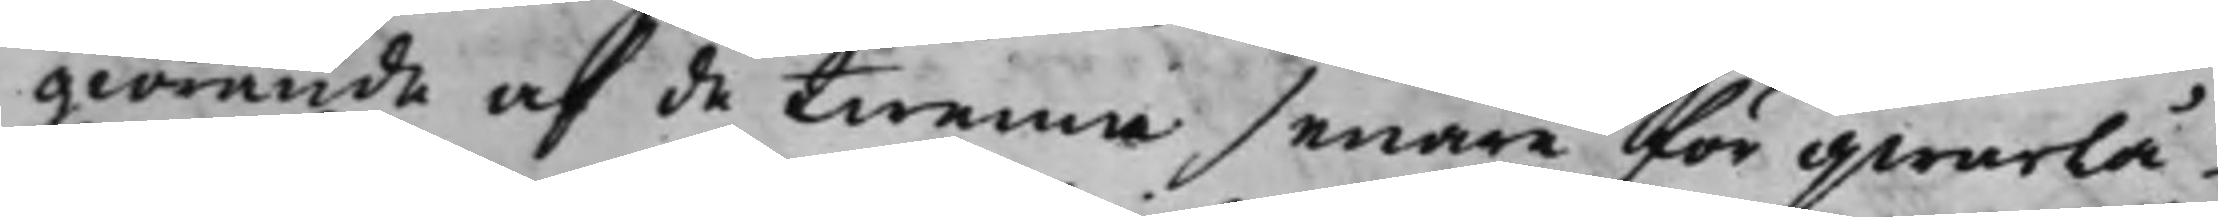giörande af de twenne senare för qwarlå¬
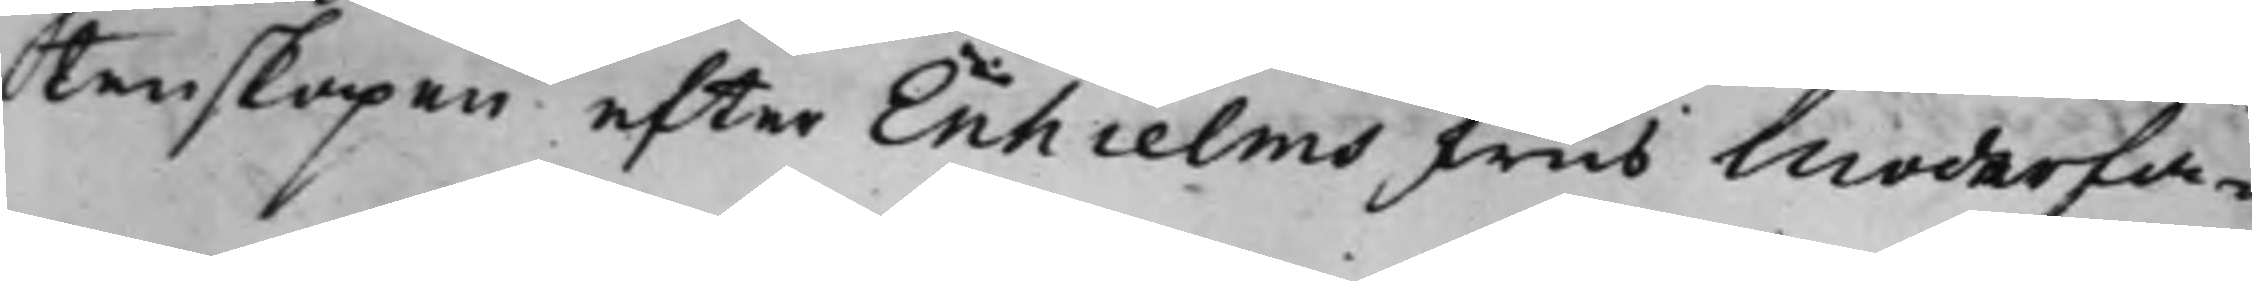tenskapen efter Enhielms Frus Moderfa¬
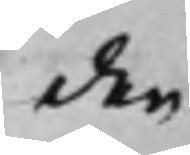der
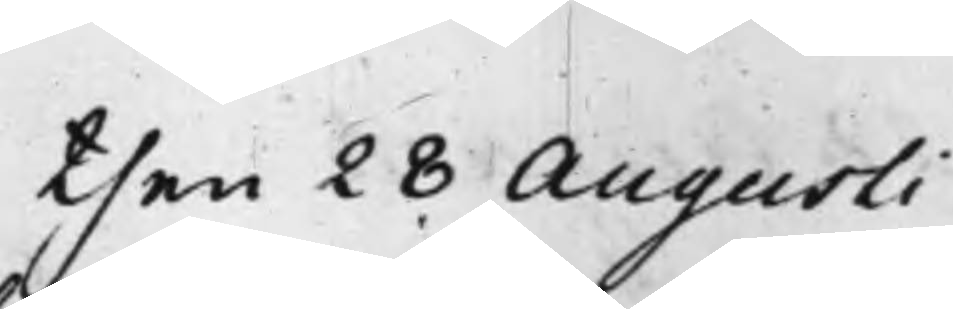then 28 Augusti
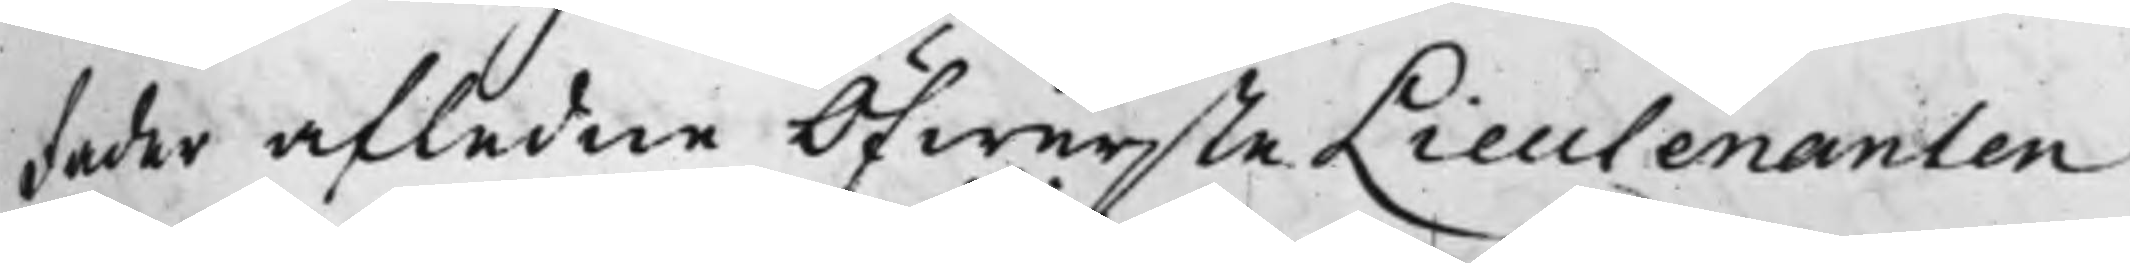fader afledne ÖfwersteLieutenanten
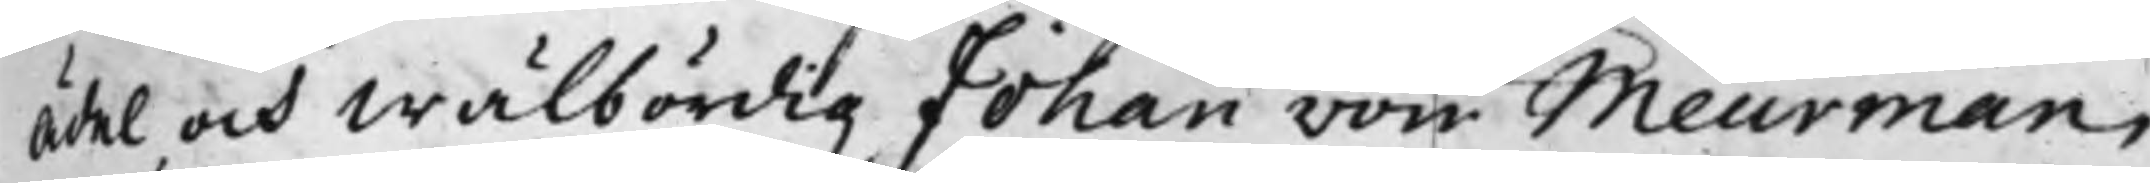Ädel och Wälbördig Johan von Meurman,
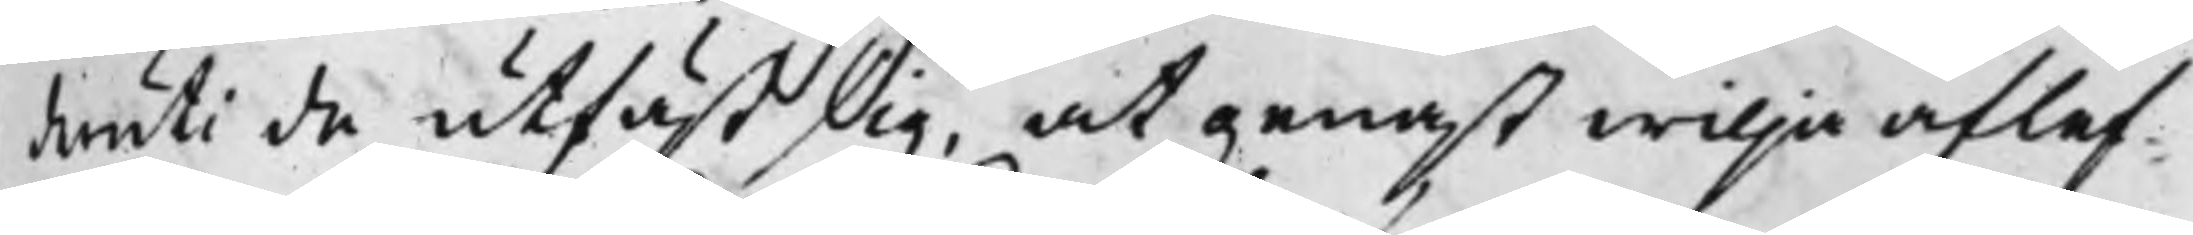deruti de utfäst sig, at genast willja aflef¬
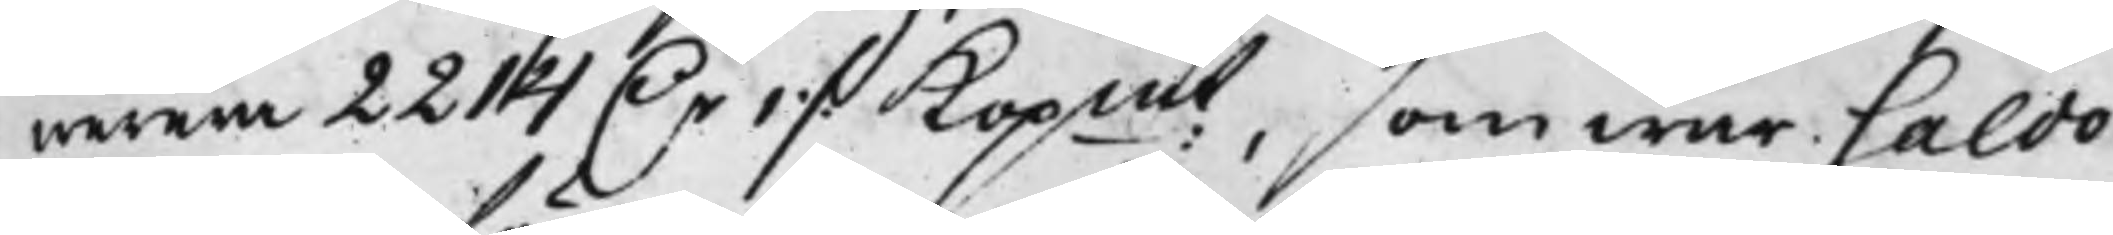werera 2214 D.r 1 ./. Kopmt, som war saldo
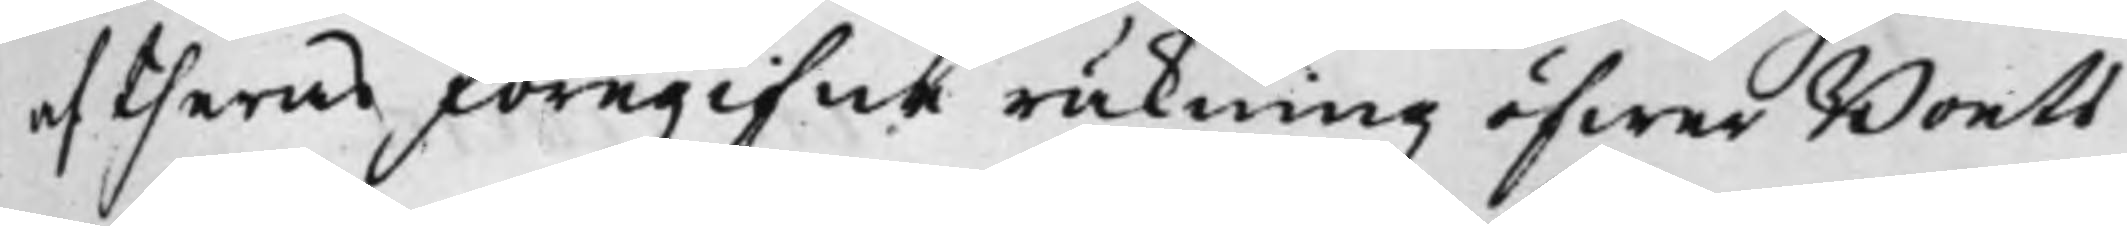af theras föregifne räkning öfwer Boets
